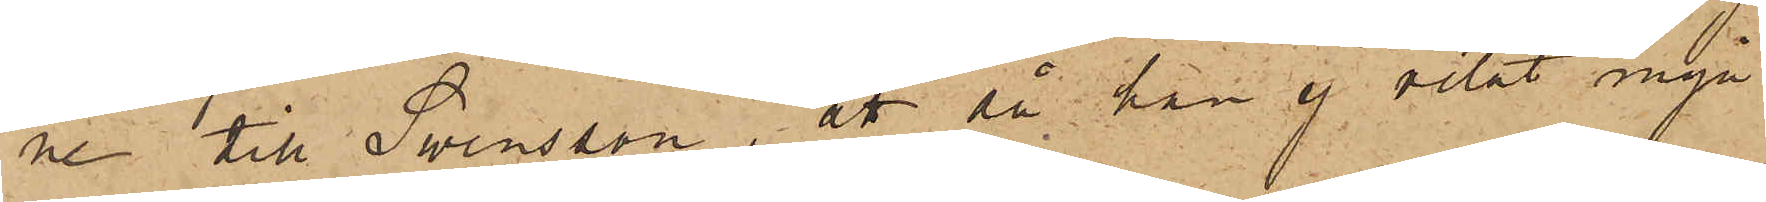ne till Swensson, att då han ej velat ingå
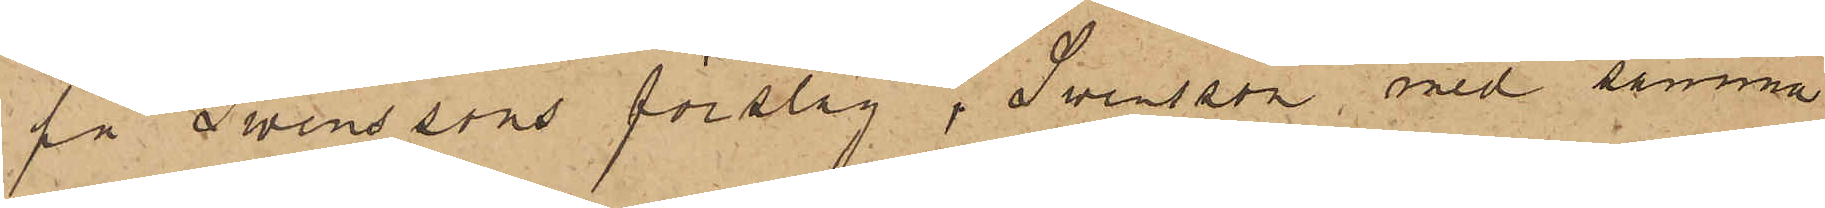på Swenssons förslag, Swensson med samma
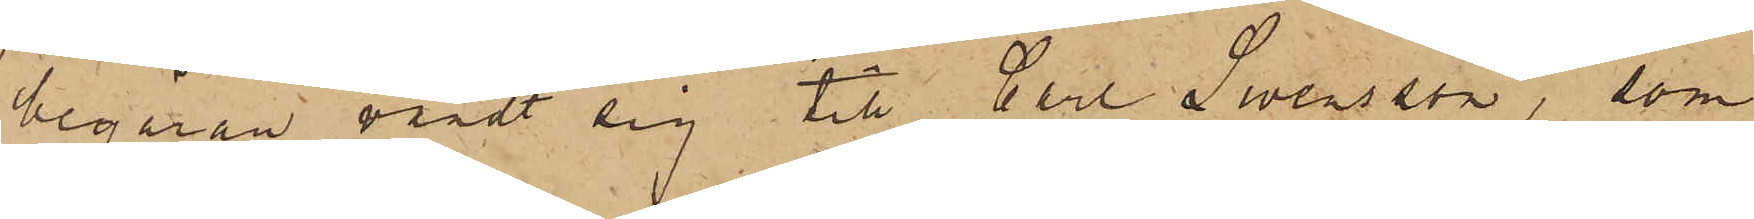begäran värdt sig till Carl Swensson, som
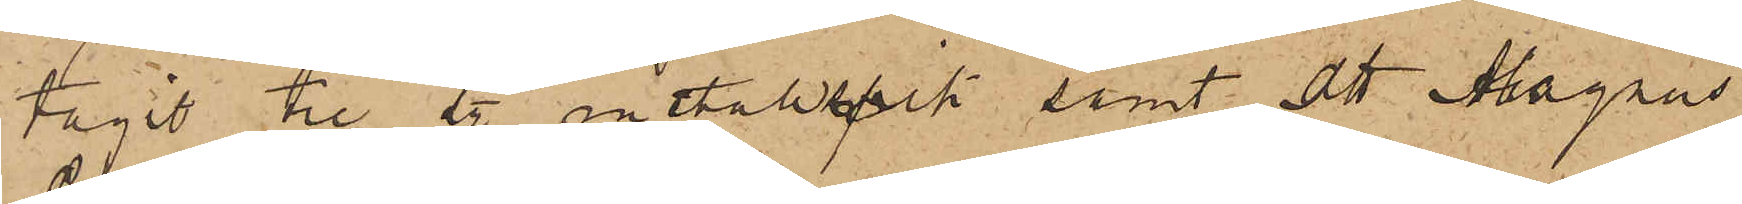tagit tre st. metallspik samt att Magnus
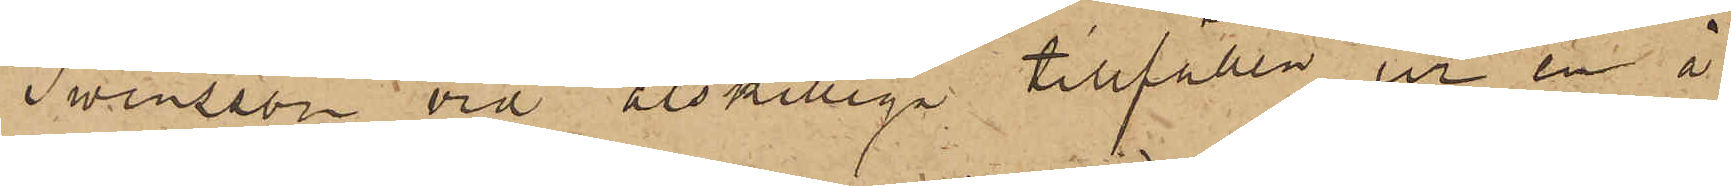Swensson vid åtskilliga tillfällen ur en å
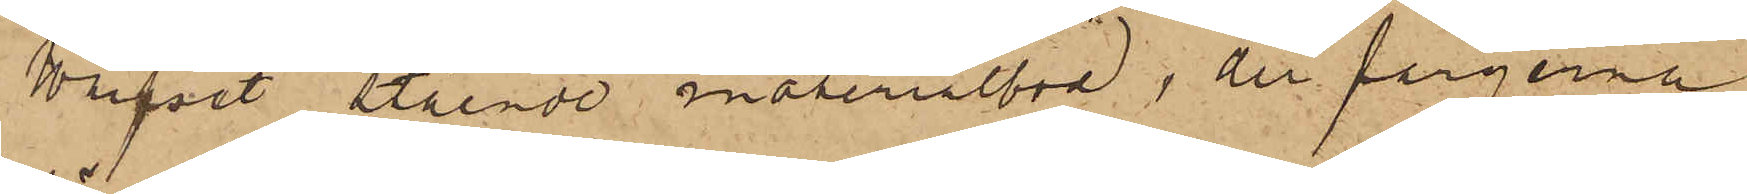Warfet stående materialbod, der färgerna
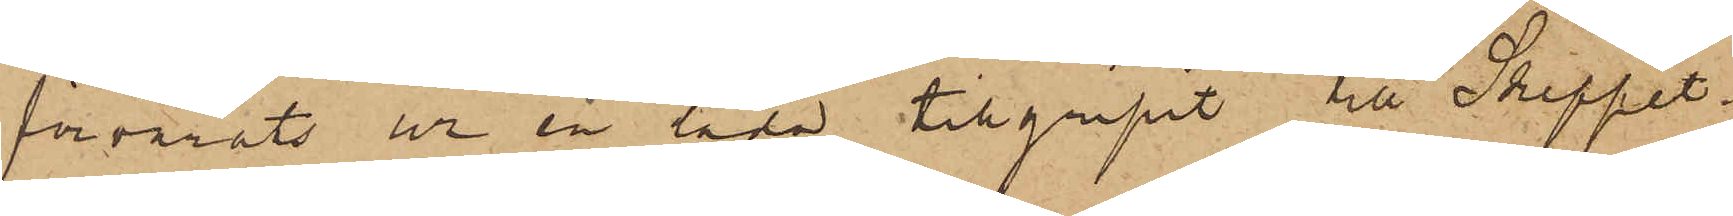förvarats ur en låda tillgripit till Skeppet
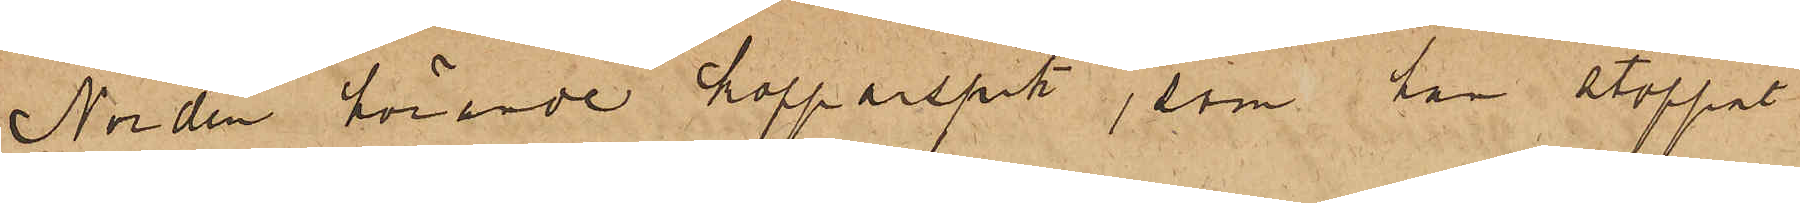Norden hörande kopparspik, som han stoppat
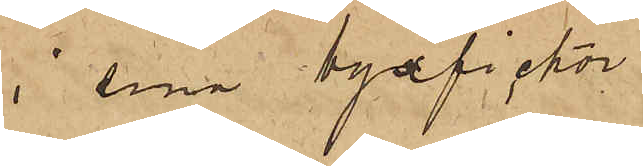i sina byxfickor.
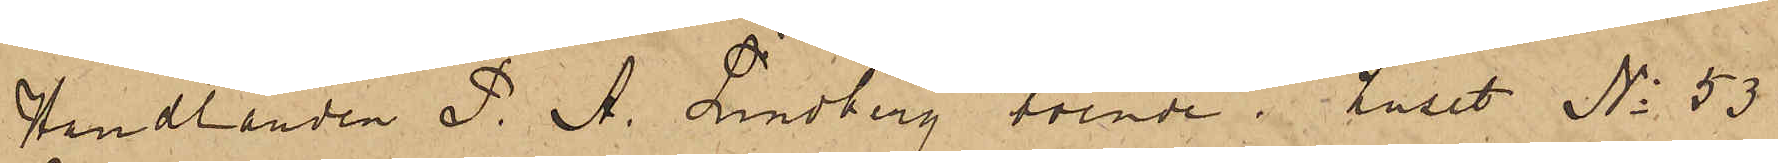Handlanden P. A. Lindberg, boende i huset No 53
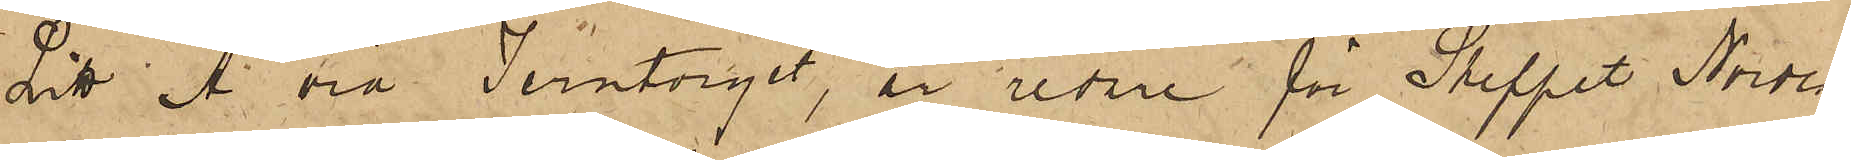Litt A vid Jerntorget är redare för Skeppet Norden,
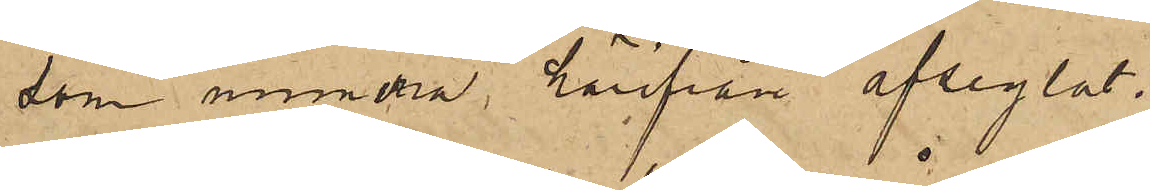som numera härifrån afseglat.
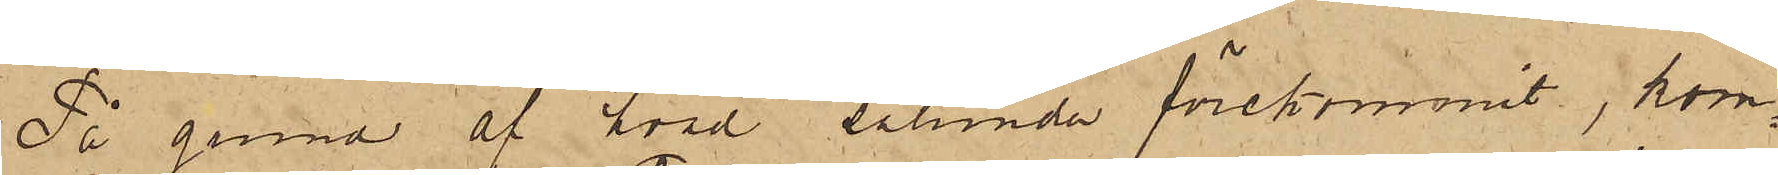På grund af hvad sålunda förekommit, kom¬
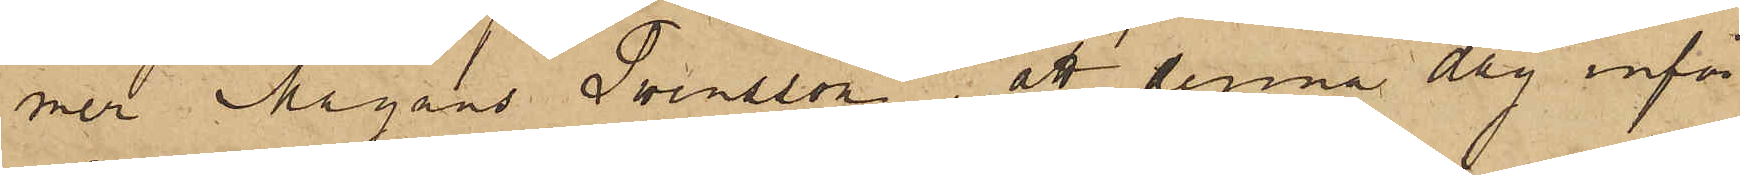mer Magnus Swensson, att denna dag inför
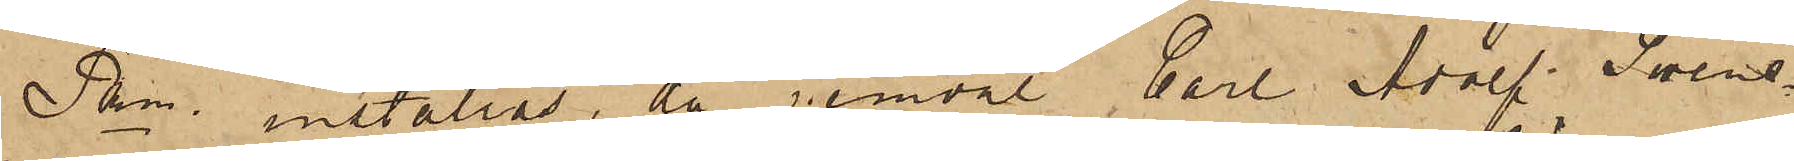Pkn. inställas, då jemväl Carl Adolf Swens¬
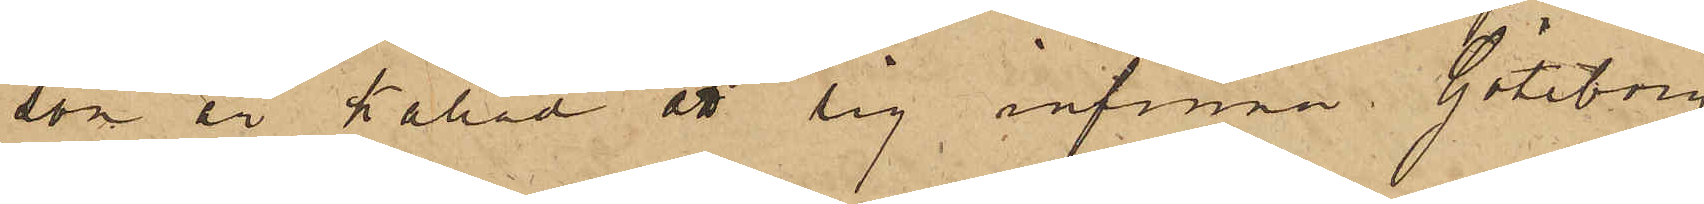son är kallad att sig infinna. Göteborg
